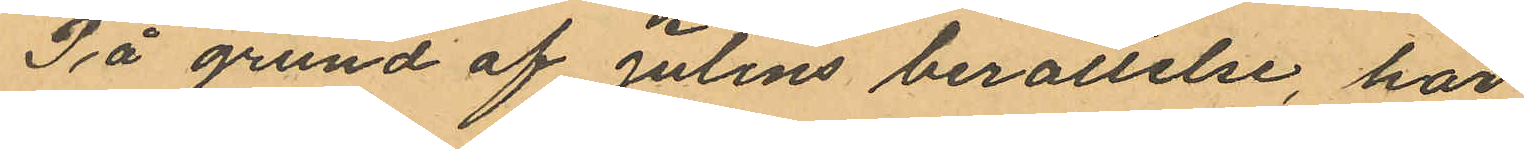På grund af Julins berättelse, har
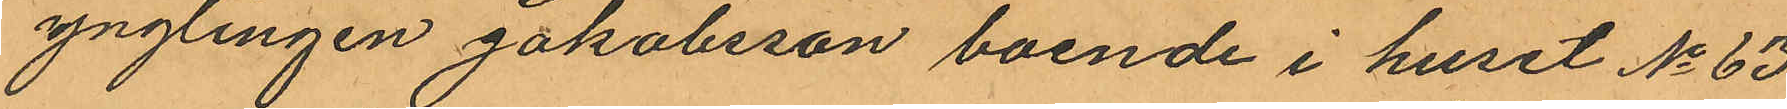ynglingen Jakobsson boende i huset No 63
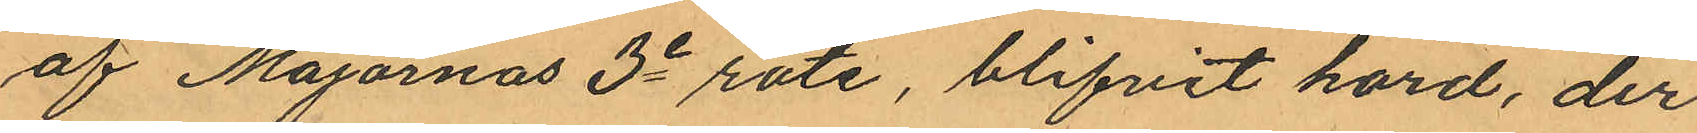af Majornas 3e rote, blifvit hörd, der
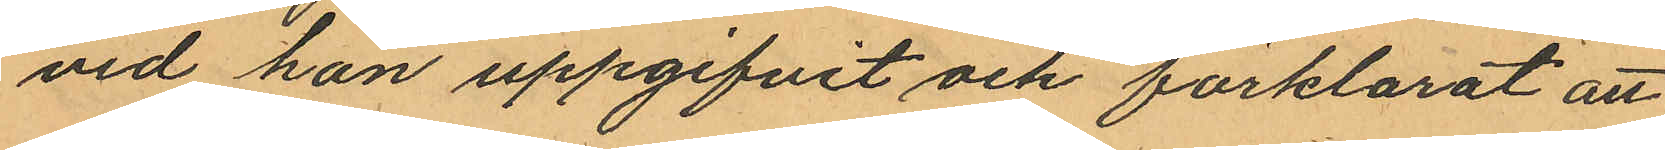vid han uppgifvit och förklarat att
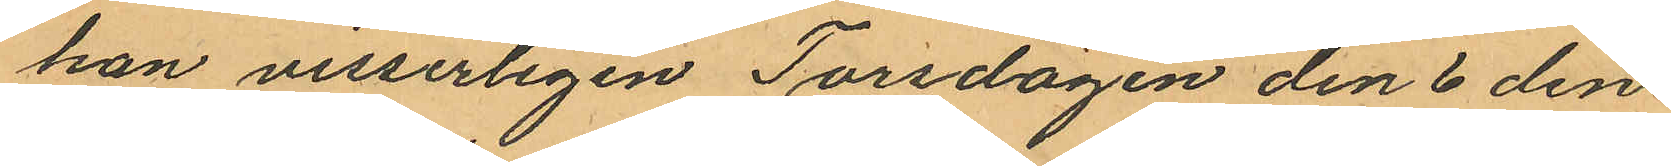han visserligen Torsdagen den 6 den¬
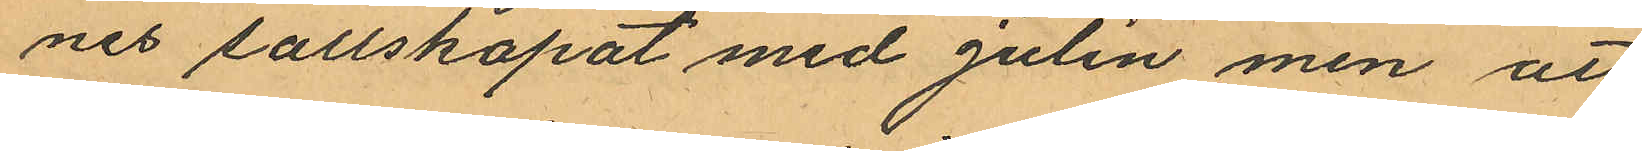nes sällskapat med Julin men att
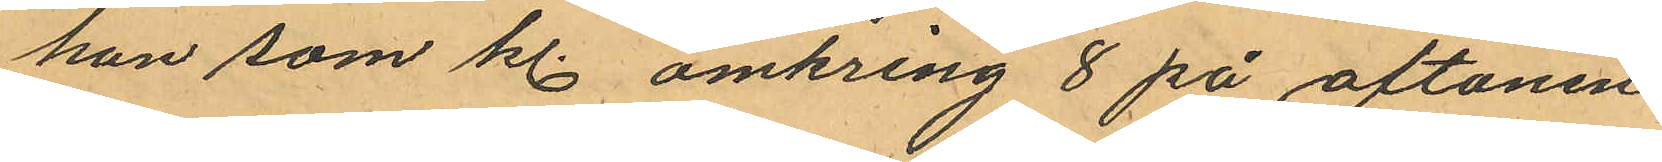han som kl. omkring 8 på aftonen
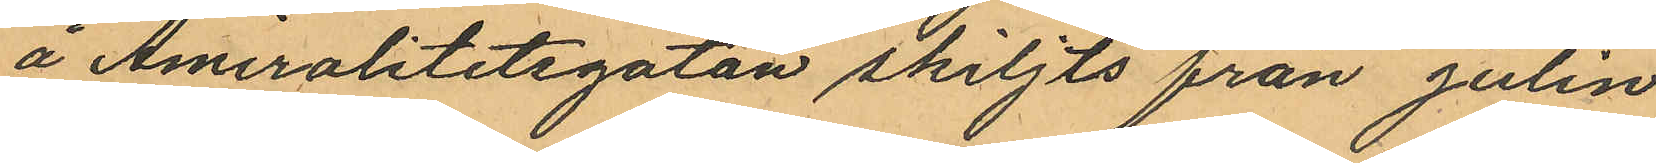å Amiralitetsgatan skiljts från Julin
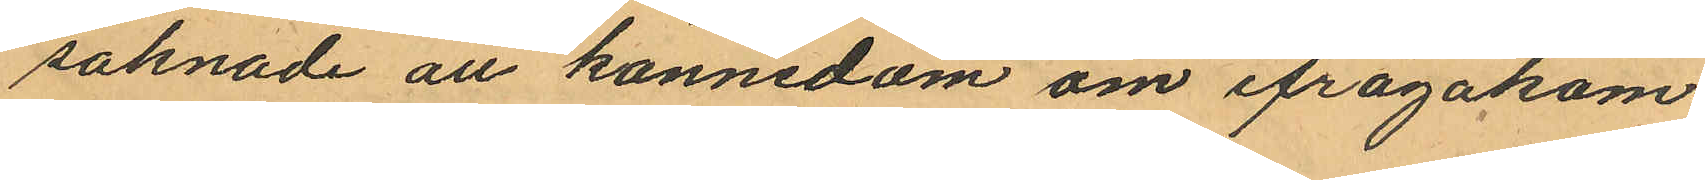saknade all kännedom om ifrågakom¬
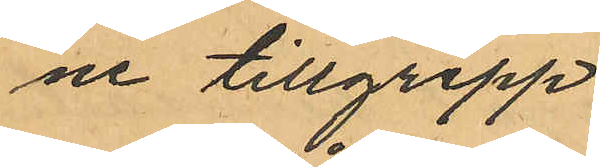ne tillgrepp.
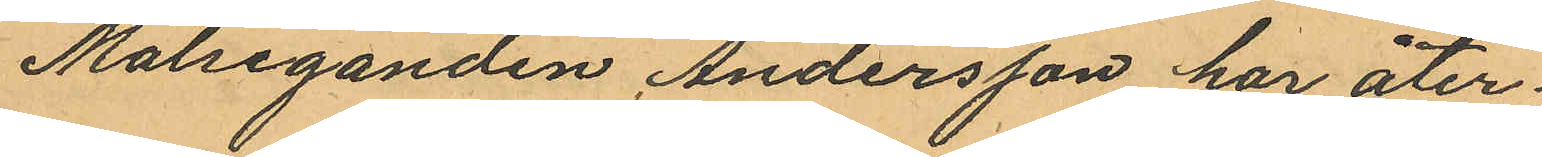Målseganden Andersson har åter¬
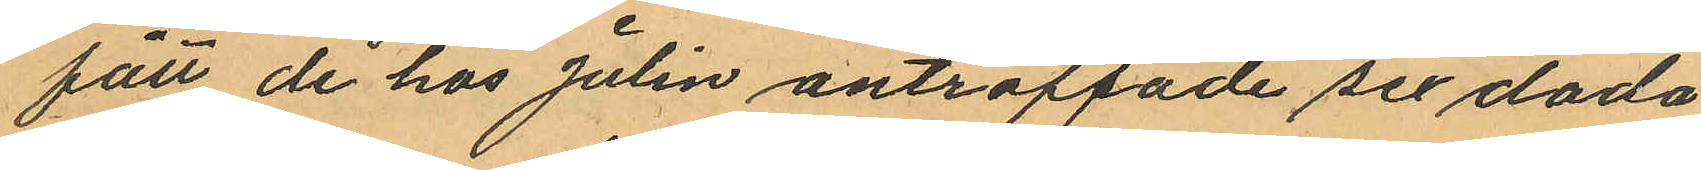fått de hos Julin anträffade sex döda
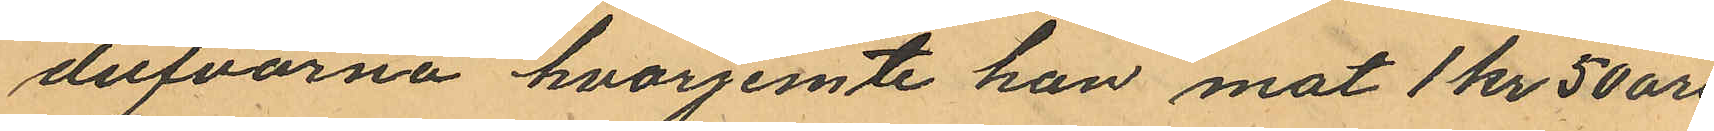dufvorna hvarjemte han mot 1 kr 50 öre
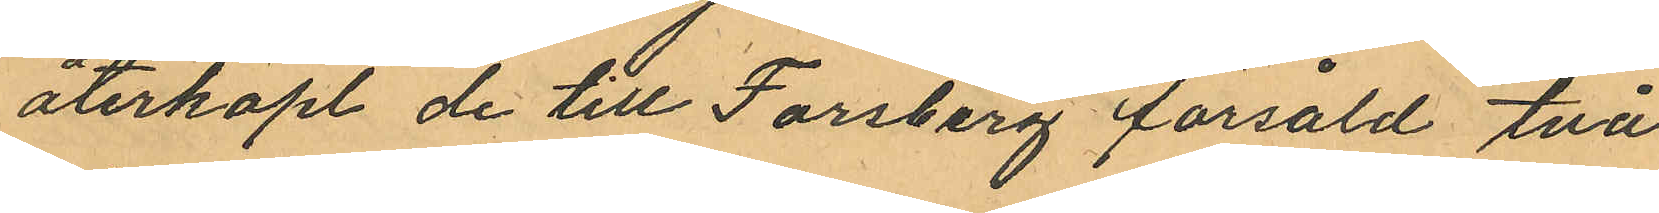återköpt de till Forsberg försåld två
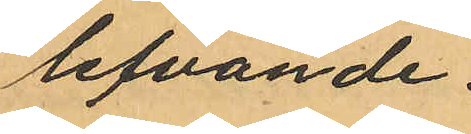lefvande.
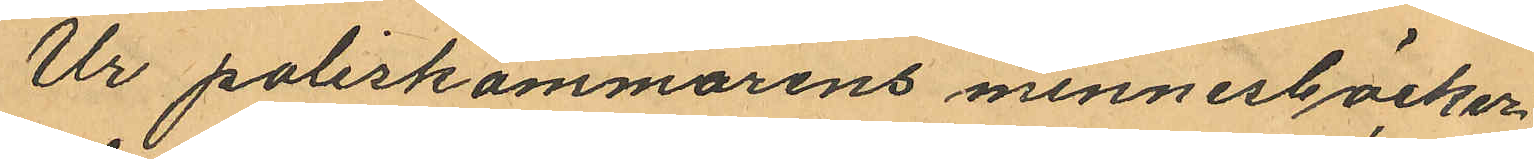Ur poliskammarens minnesböcker
